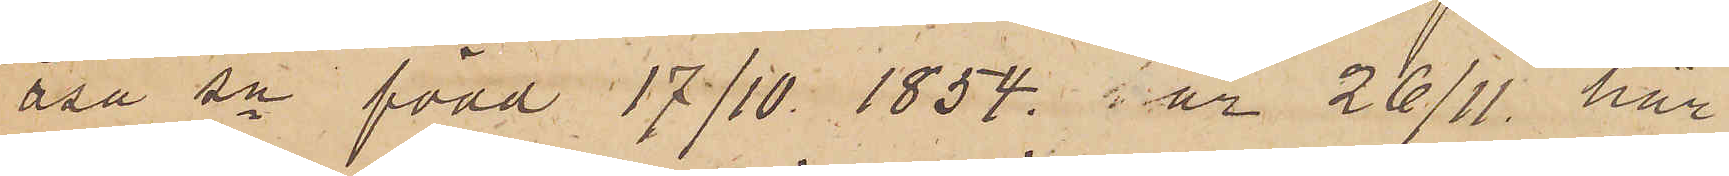åsa sn född 17/10 1854 är 26/11 här
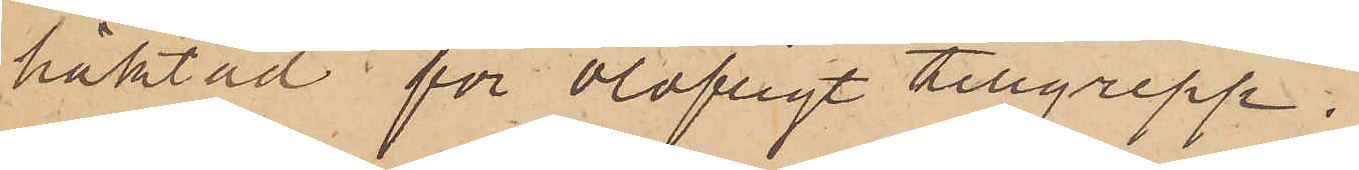häktad för olofligt tillgrepp.
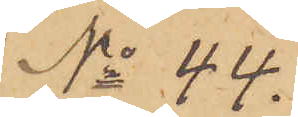No 44.
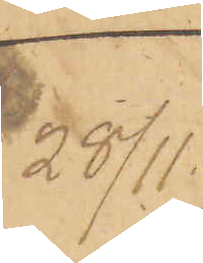28/11
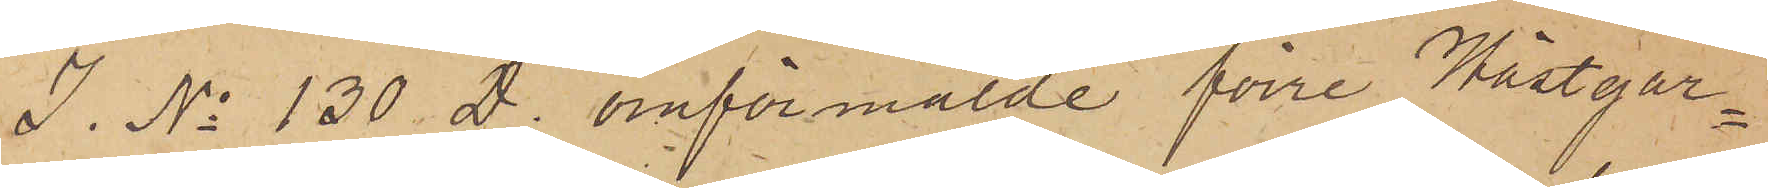I. No 130 D. omförmälde förre Hästgar¬
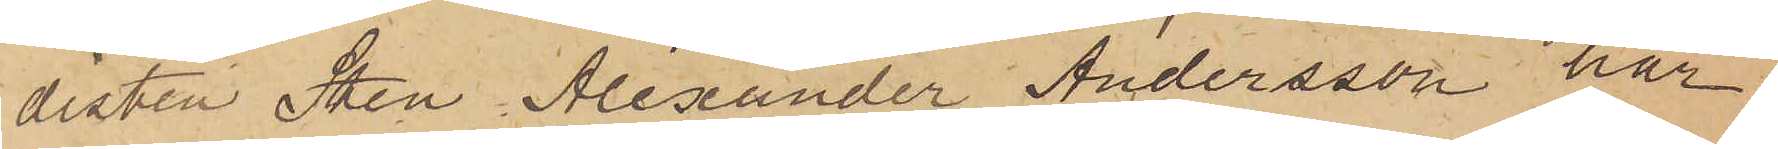disten Sten Alexander Andersson har
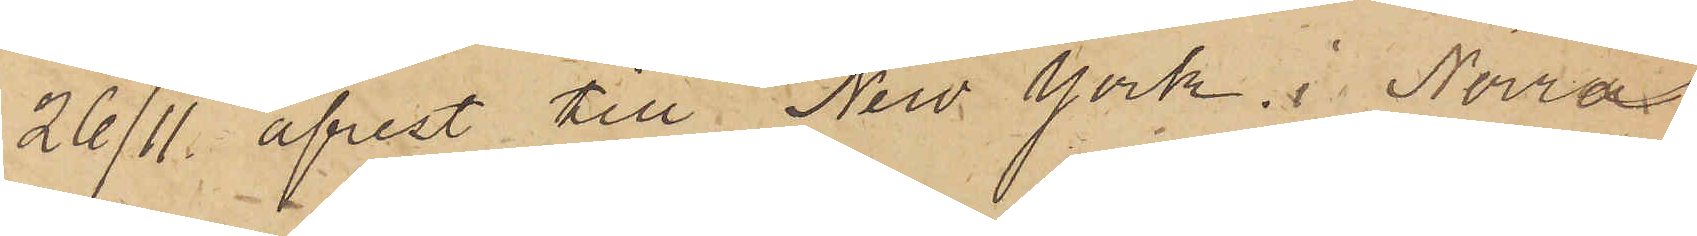26/11 afrest till New York i Norra
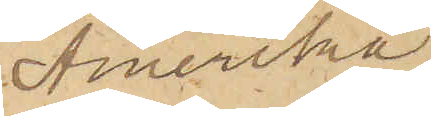Amerika
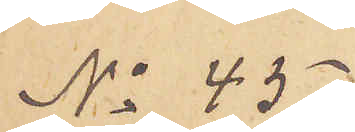No 45
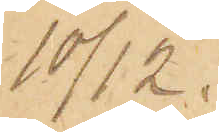10/12.
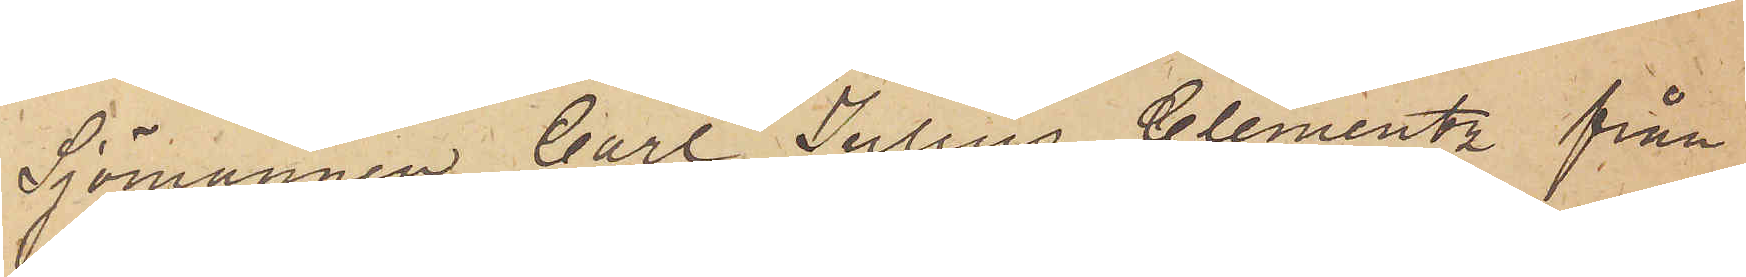Sjömannen Carl Julius Clementz från
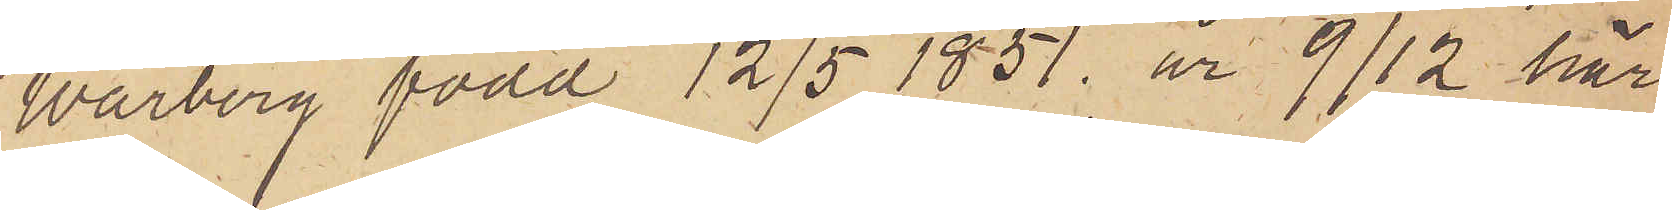Warberg, född 12/5 1851 är 9/12 här
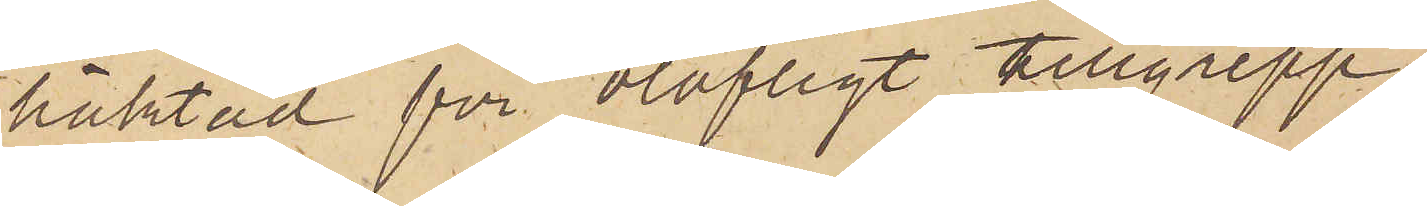häktad för olofligt tillgrepp.
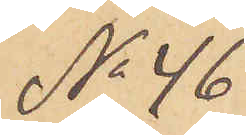No 46
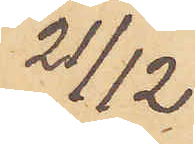21/12
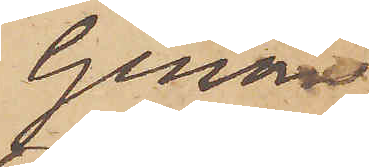Genom
